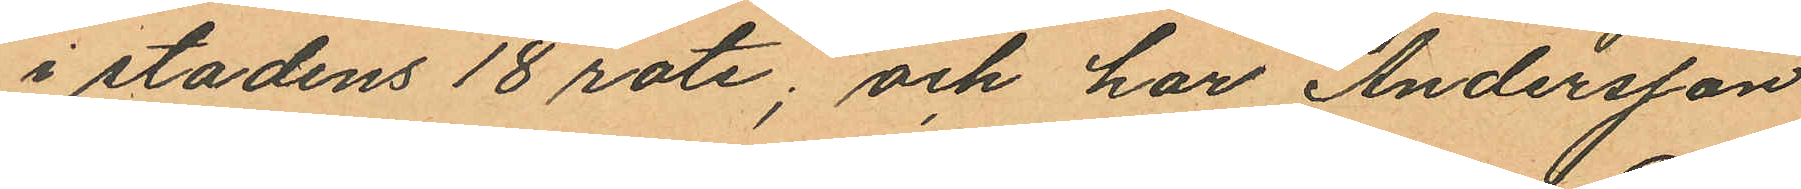i stadens 18 rote; och har Andersson
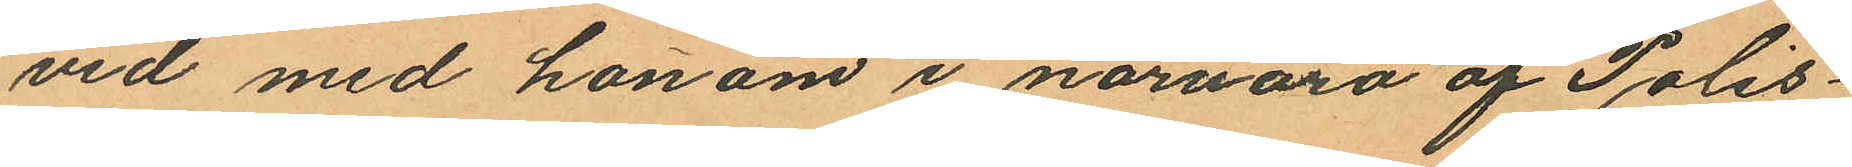vid med honom i nornaro af Polis¬
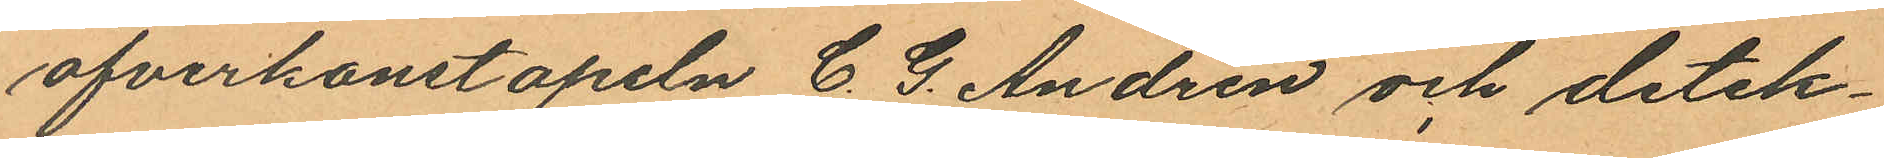öfverkonstapeln C. G. Andren och detek¬
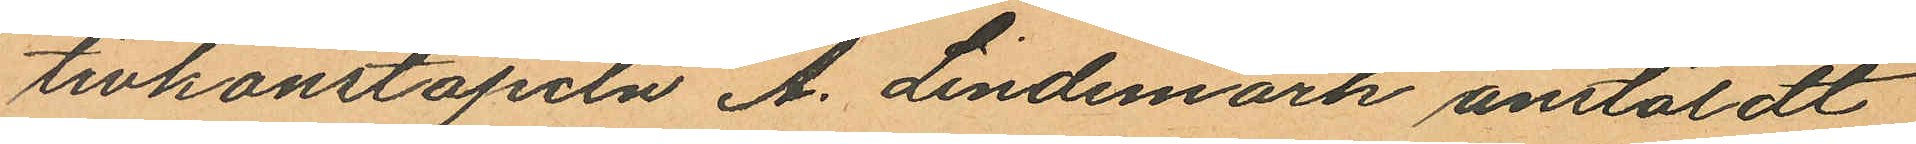tivkonstapeln A. Lindemark anstäldt
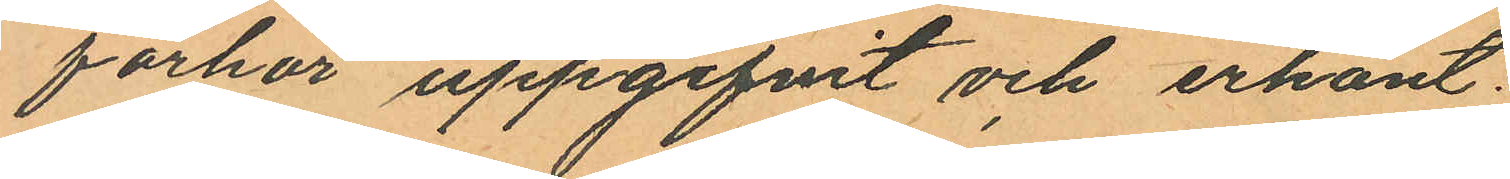förhör uppgifvit och erkänt:
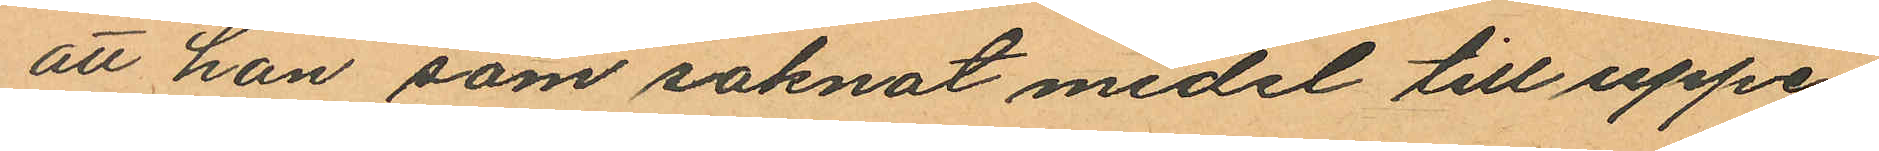att han som saknat medel till uppe¬
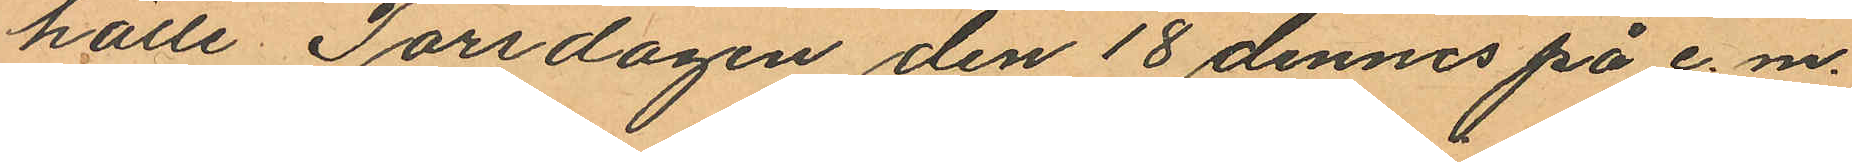hälle Torsdagen den 18 dennes på e. m.
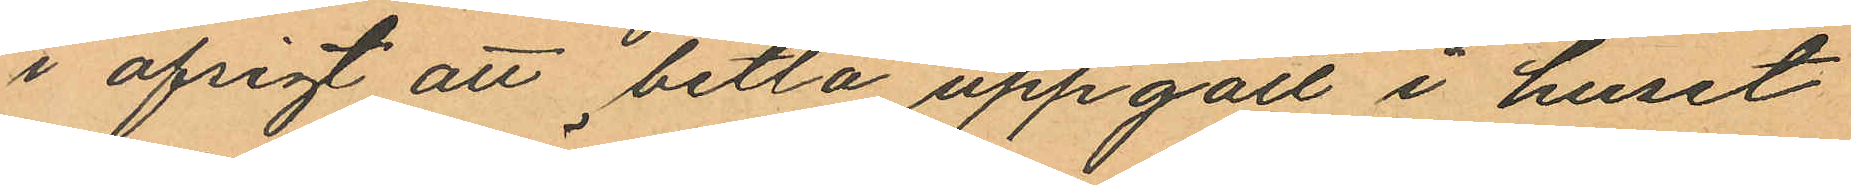i afsigt att betla uppgått i huset
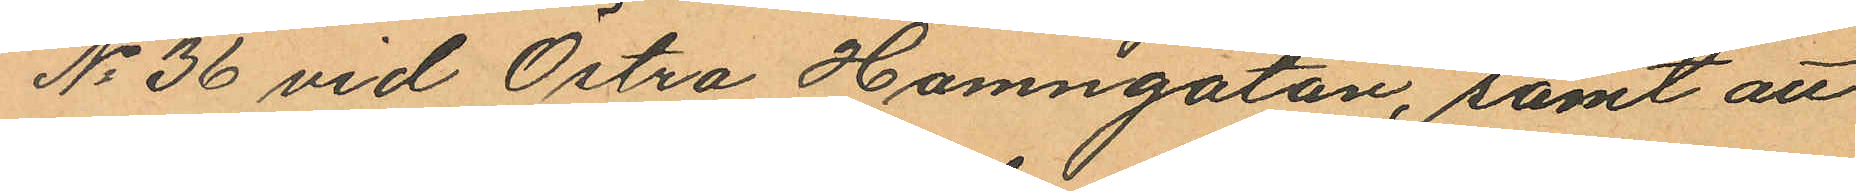No 36 vid Östra Hamngatan, samt att
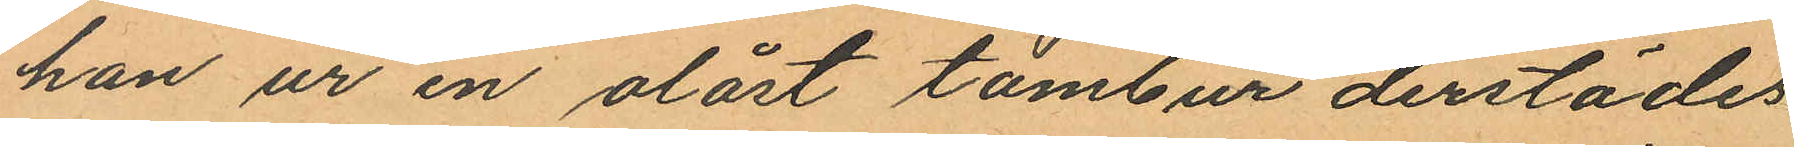han ur en olåst tambur derstädes
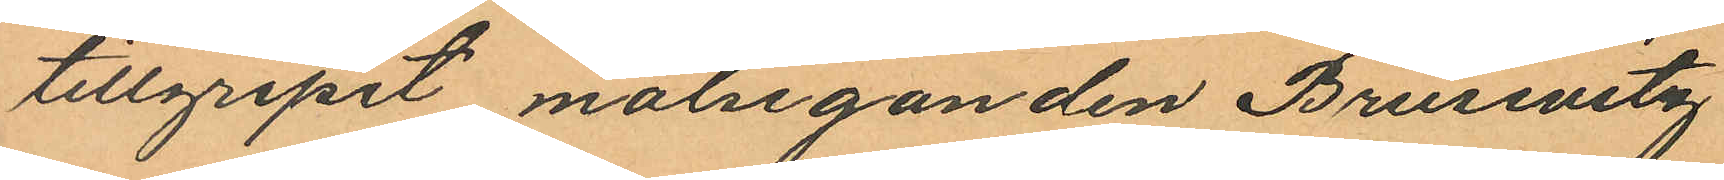tillgripit målseganden Brusevitz
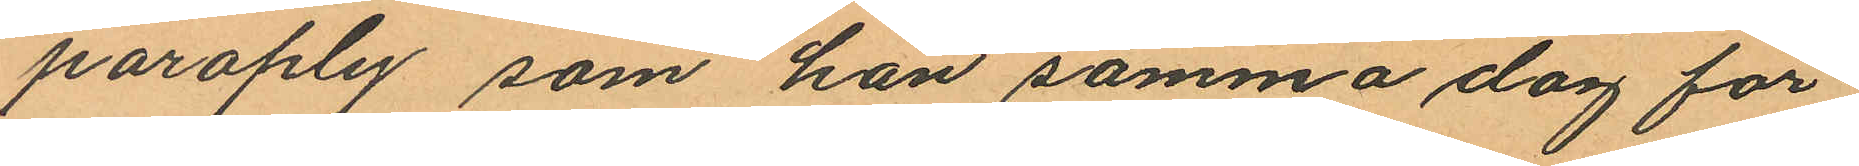paraply som han samma dag för¬
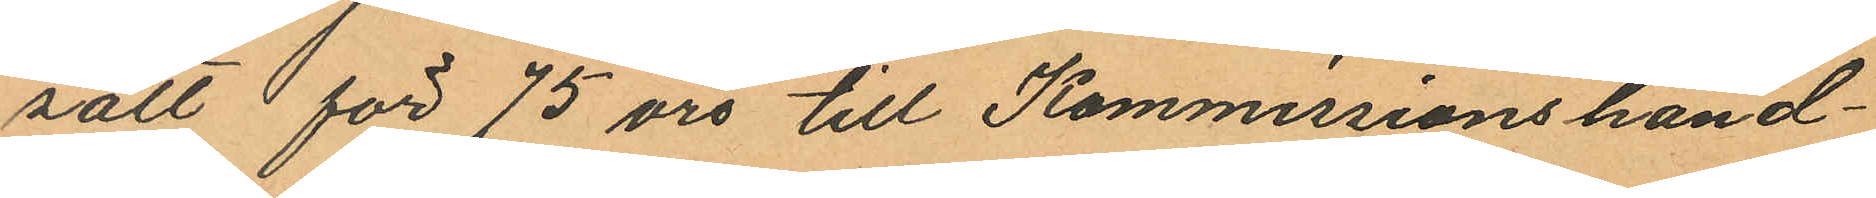sålt för 75 öre till Kommissionshand¬
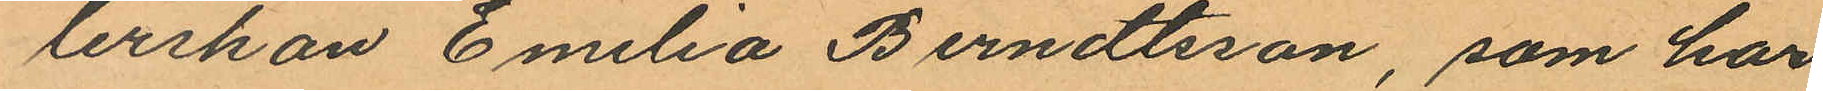lerskan Emilia Berndtsson, som har
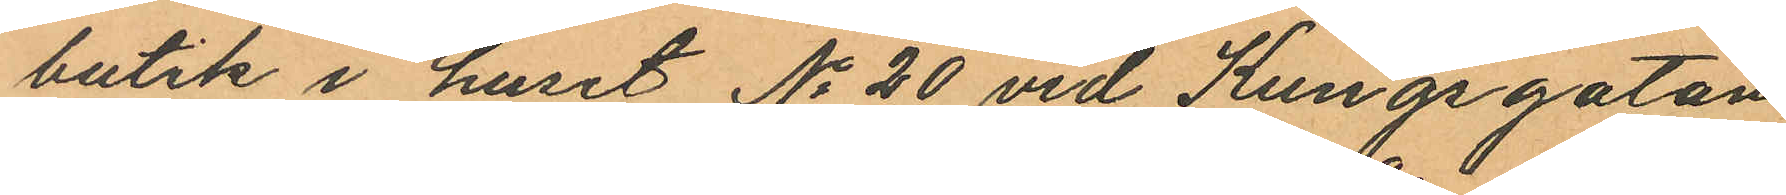butik i huset No 20 vid Kungsgatan
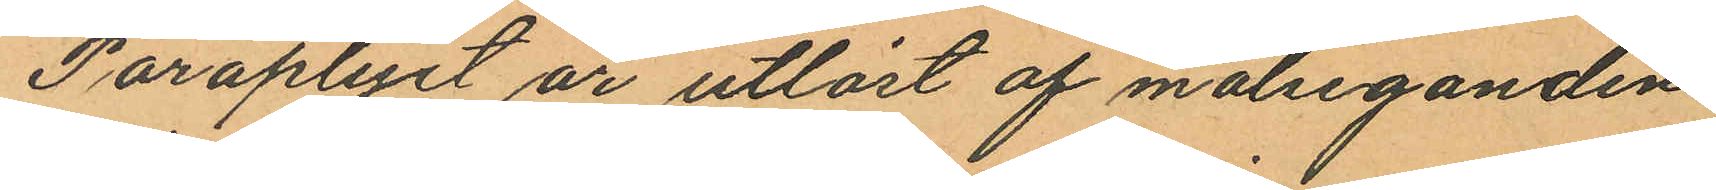Paraplyet är utlöst af målseganden.
